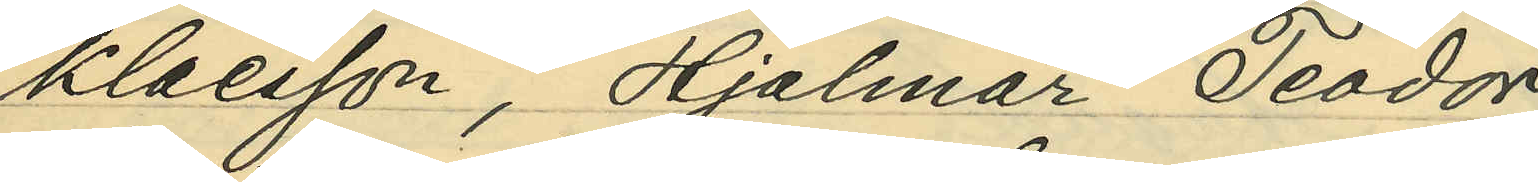Klaesson, Hjalmar Teodor
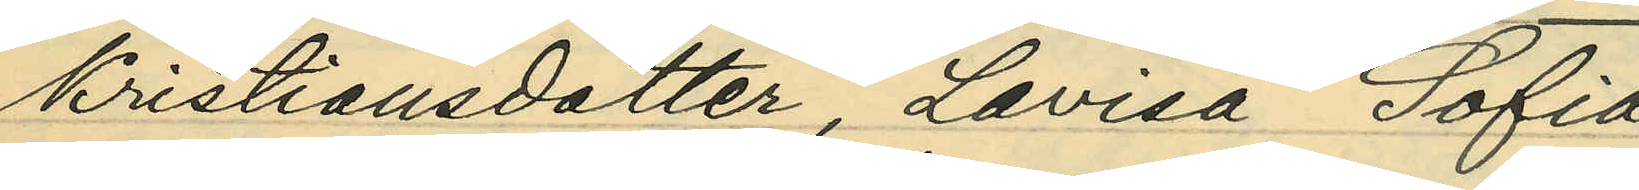Kristiansdotter, Lovisa Sofia
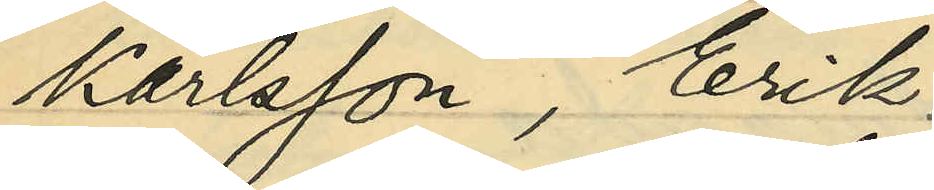Karlsson, Erik
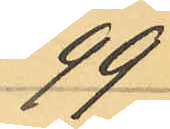99
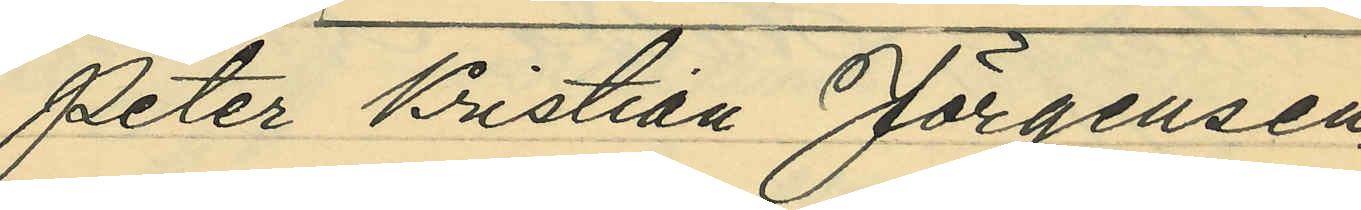Peter Kristina Jörgensen
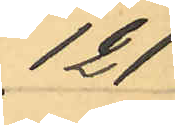121
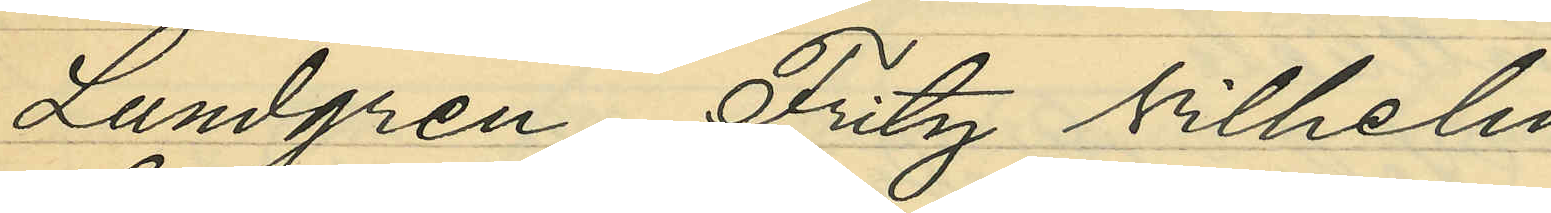Lundgren, Fritz Vilhelm
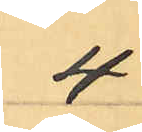4
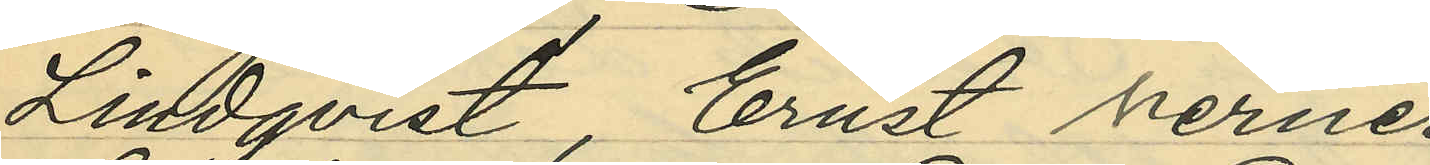Lindqvist, Ernst Verner
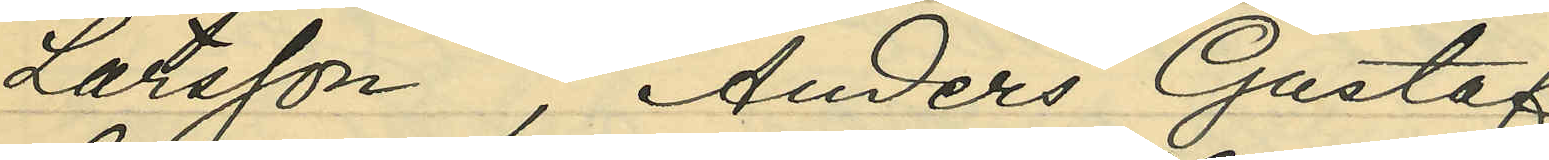Larsson, Anders Gustaf
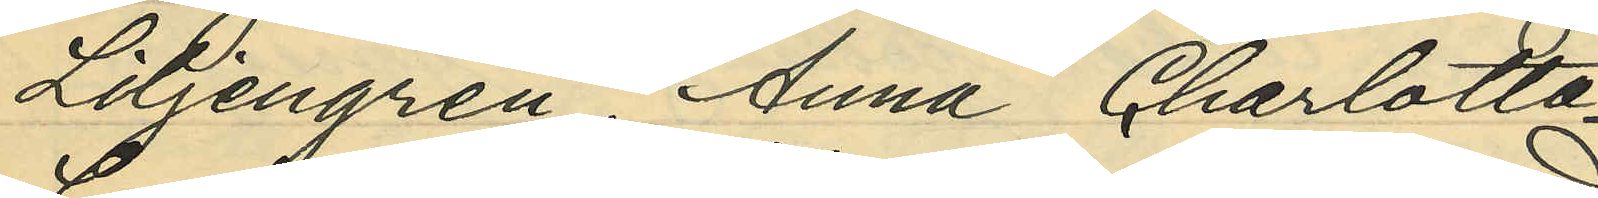Liljengren, Anna Charlotta
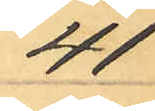41
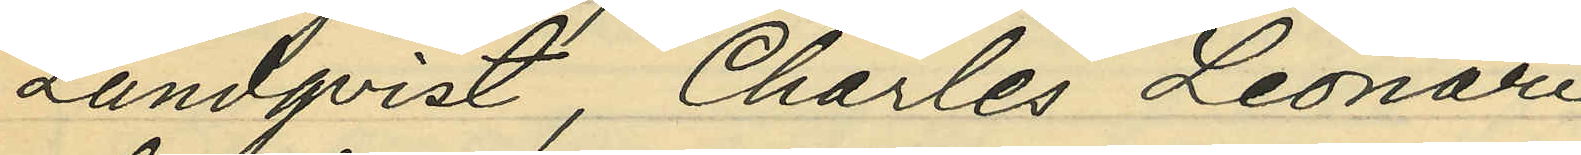Lundqvist, Charles Leonard
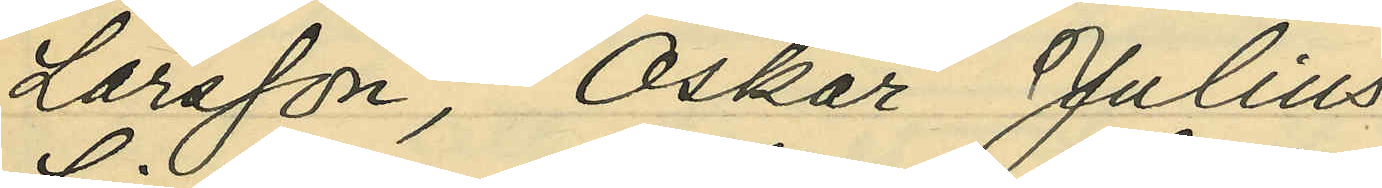Larsson, Oskar Julius
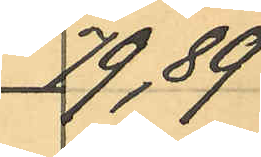79, 89
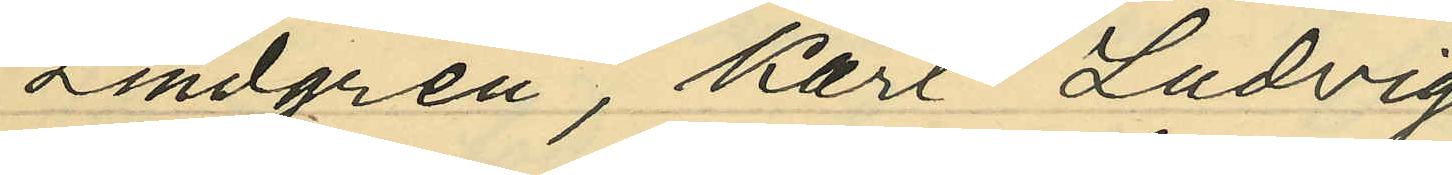Lindgren, Karl Ludvig
